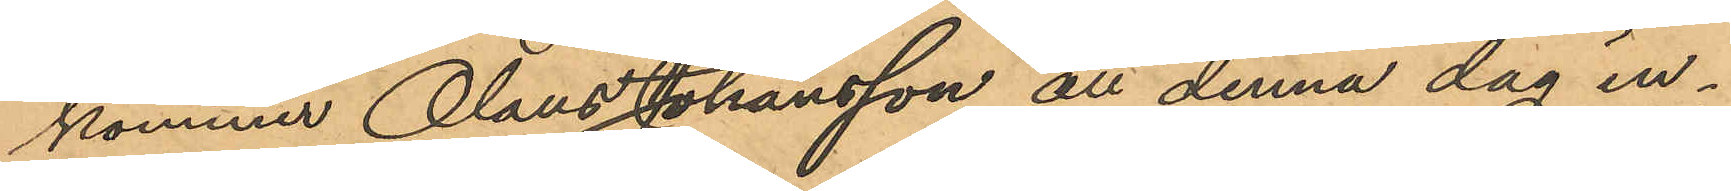kommer Olaus Johansson att denna dag in¬
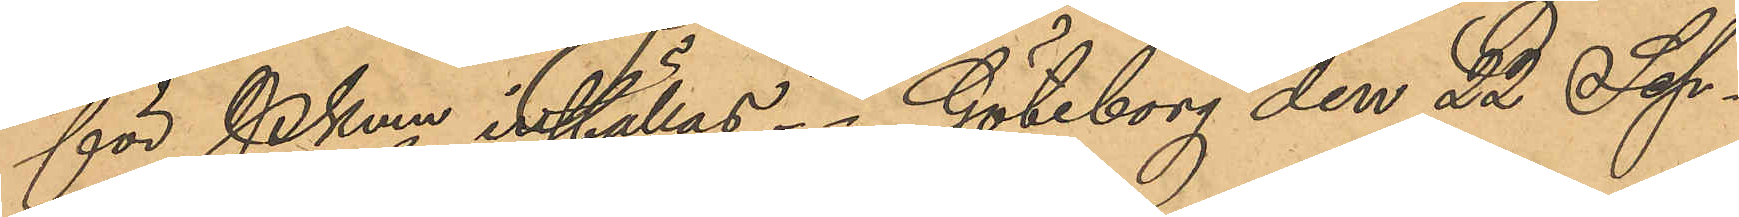för PKmn inställas. Göteborg den 22 Sep¬
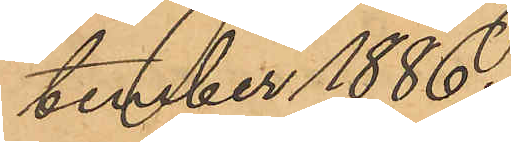tember 1886.
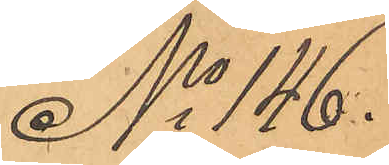No 146.
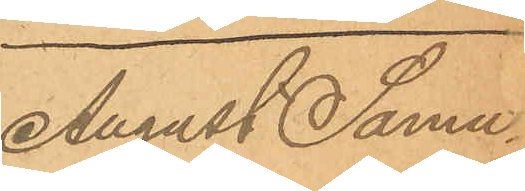August Samu¬
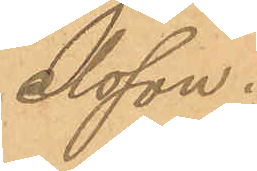elsson.
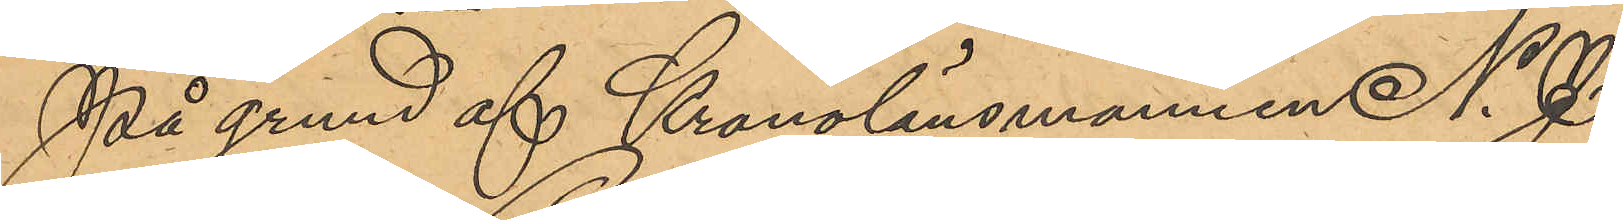På grund af Kronolänsmannen N. J.
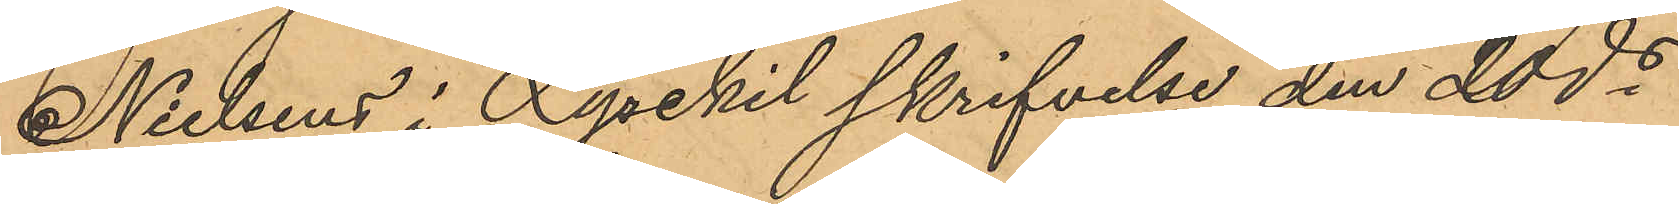Nielsens i Lysekil skrifvelse den 20 ds
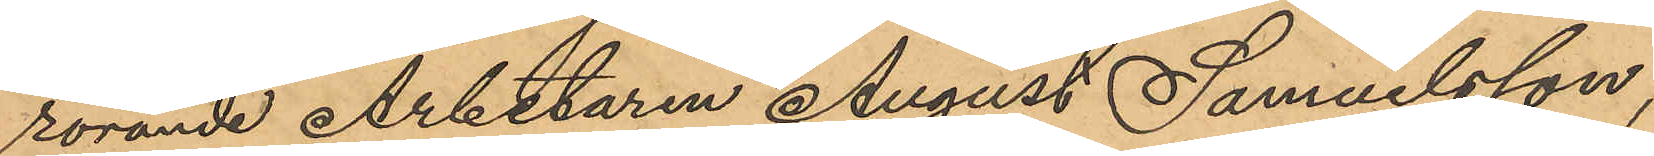rörande Arbetaren August Samuelsson,
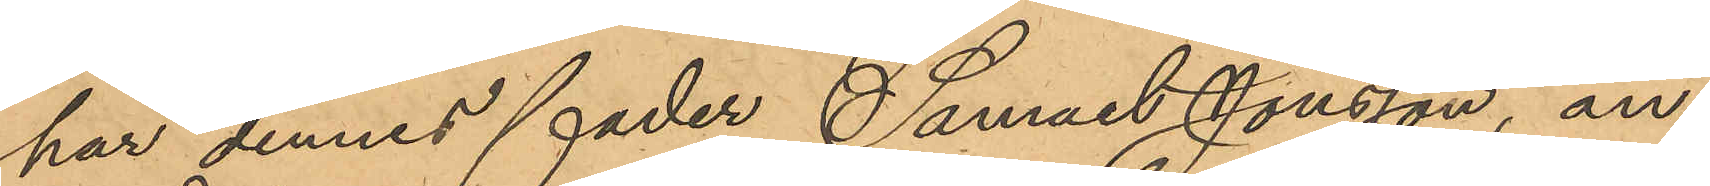har dennes fader Samuel Jonsson, an¬
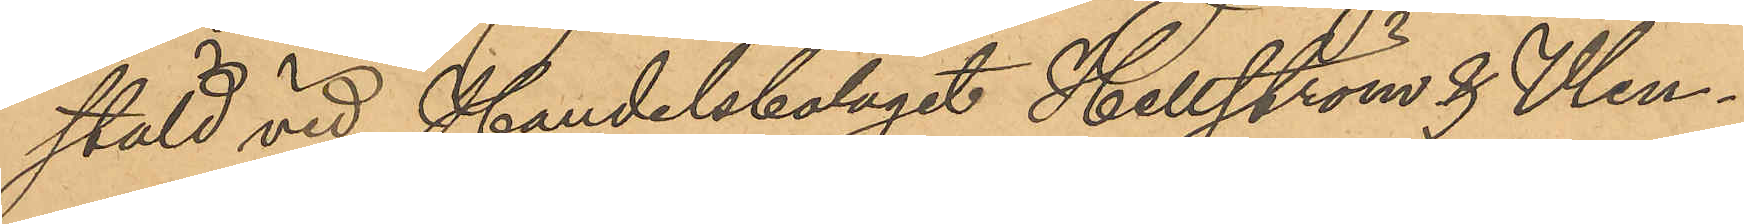stäld vid Handelsbolaget Hellström & Wen¬
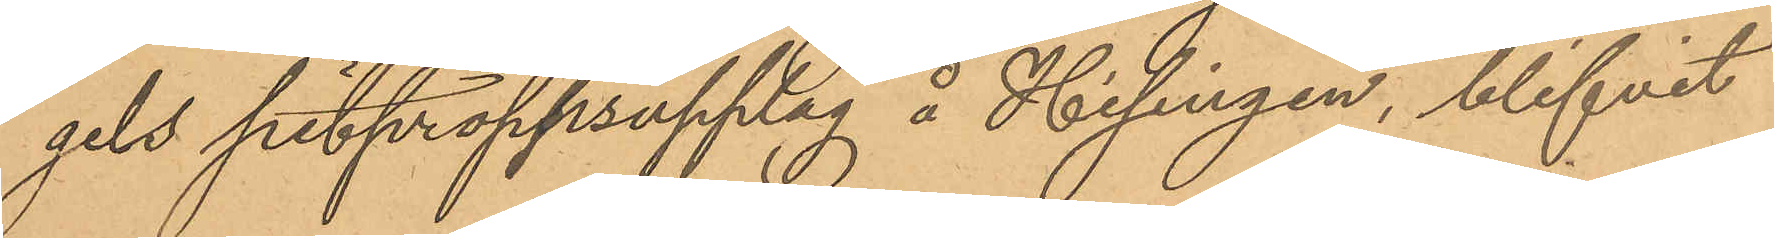gels pitproppsupplag å Hisingen, blifvit
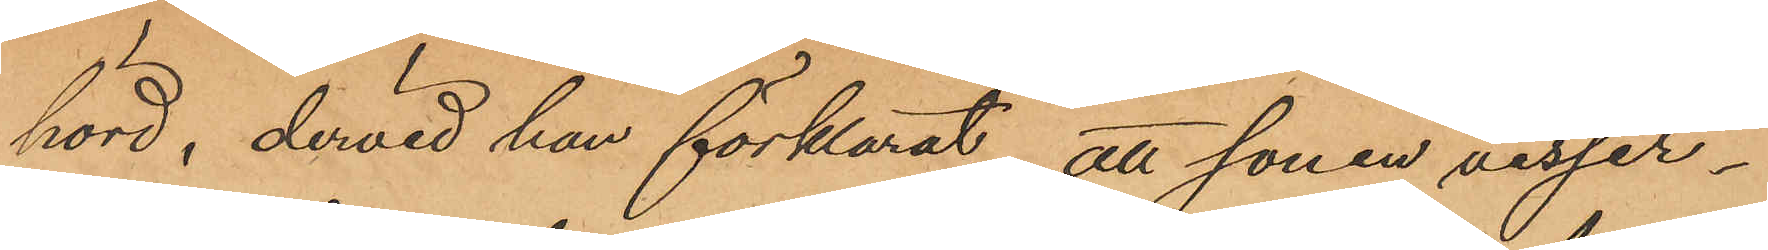hörd, dervid han förklarat, att sonen visser¬
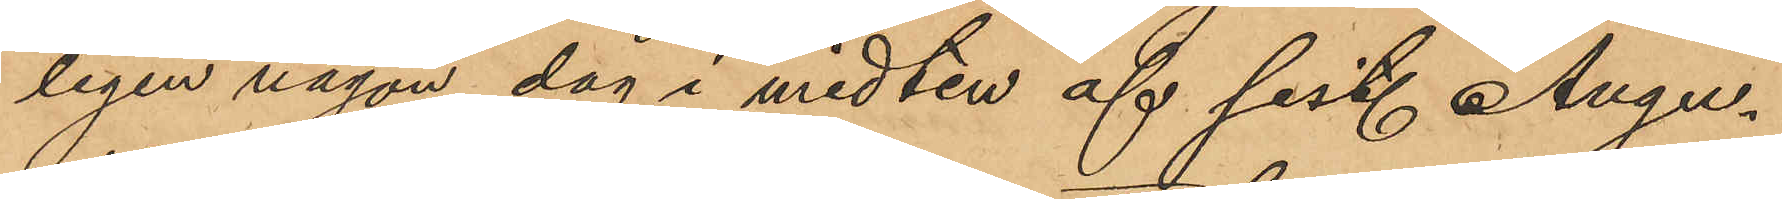ligen någon dag i midten af sist. Augu¬
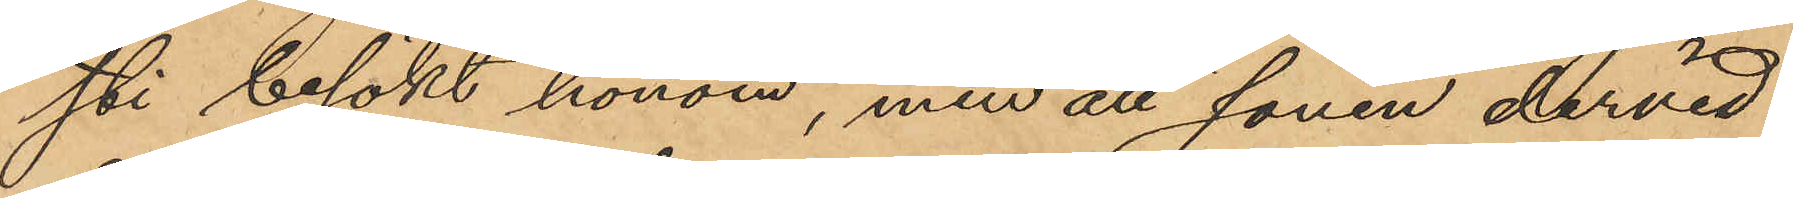sti besökt honom, men att sonen dervid
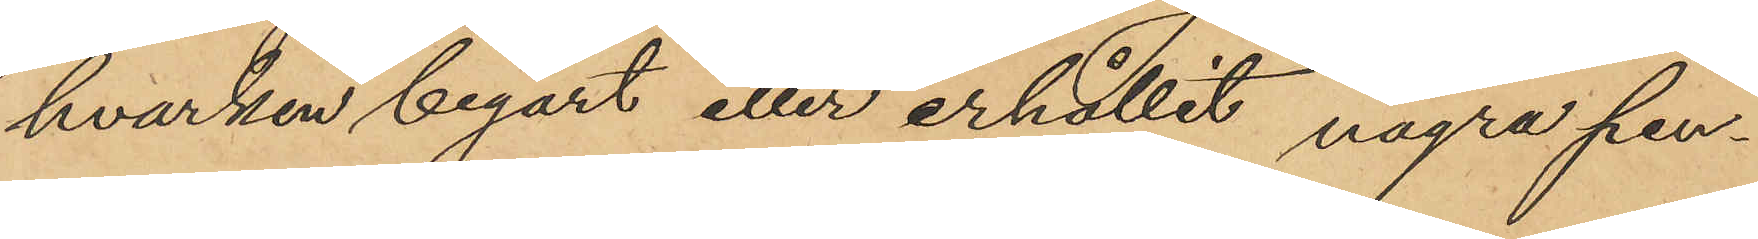hvarken begärt eller erhållit några pen¬
